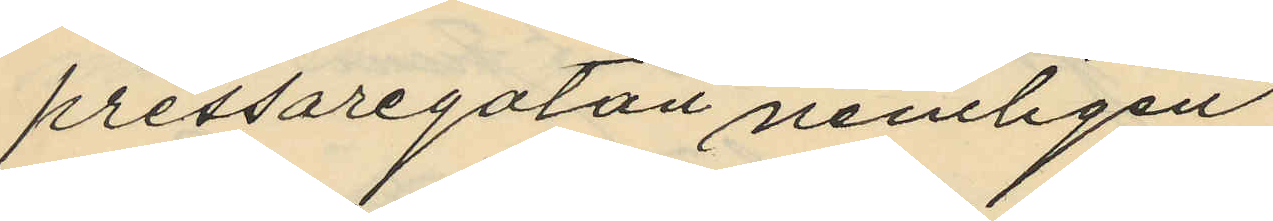pressaregatan nemligen
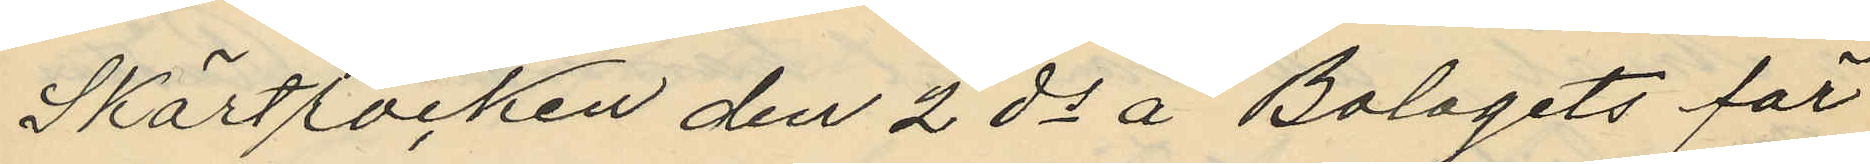Skörtrocken den 2 ds å "Bolagets för
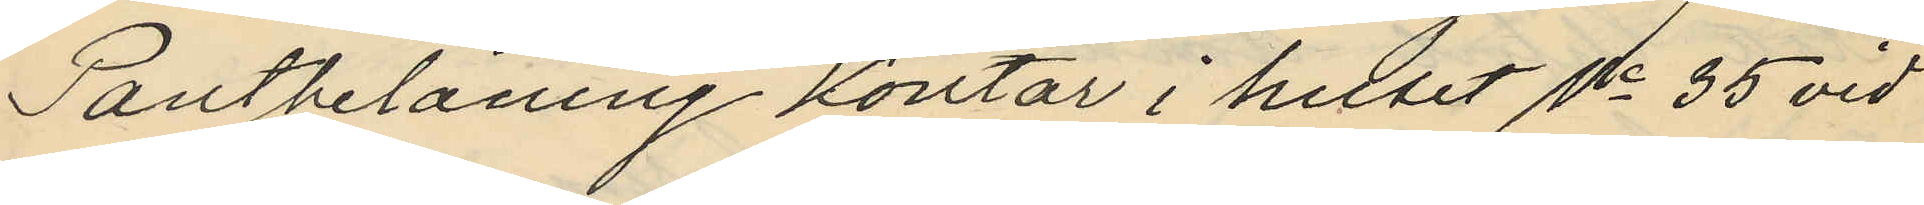Pantbelåning" kontor i huset No 35 vid
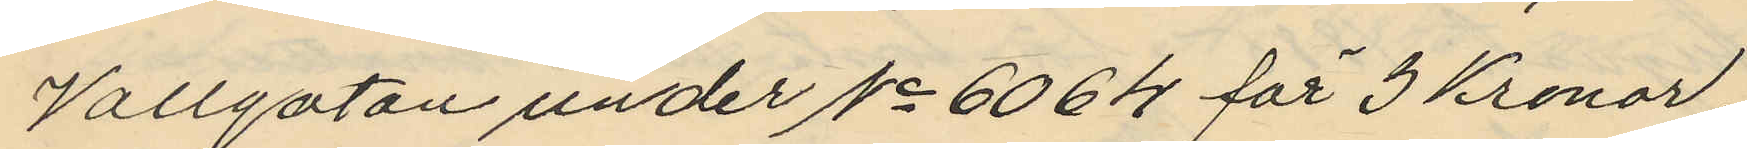Vallgatan under No 6064 för 3 Kronor;
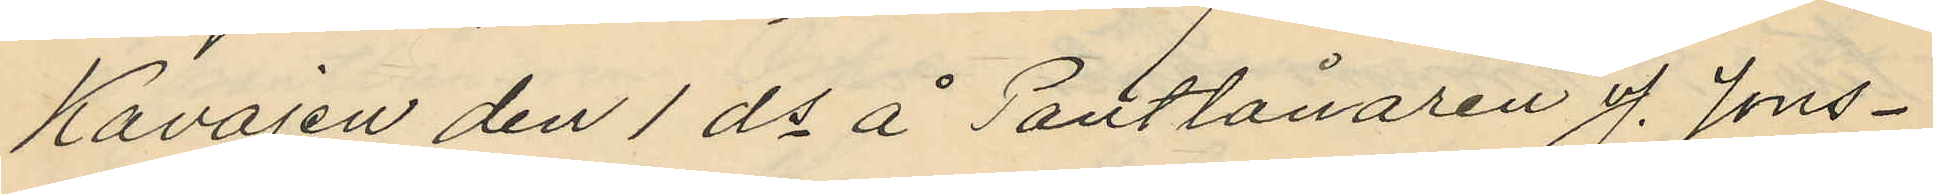Kavajen den 1 ds å Pantlånaren J. Jons¬
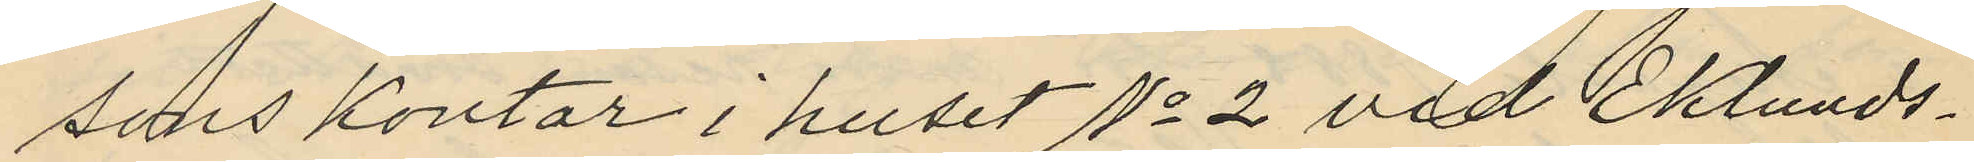sons kontor i huset No 2 vid Eklunds¬
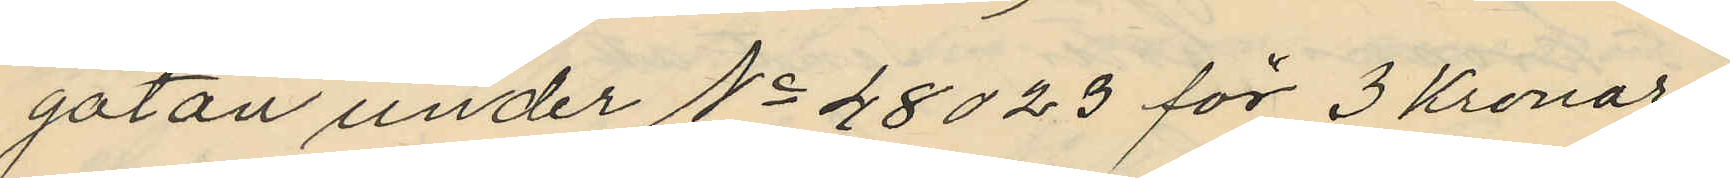gatan under No 48023 för 3 Kronor
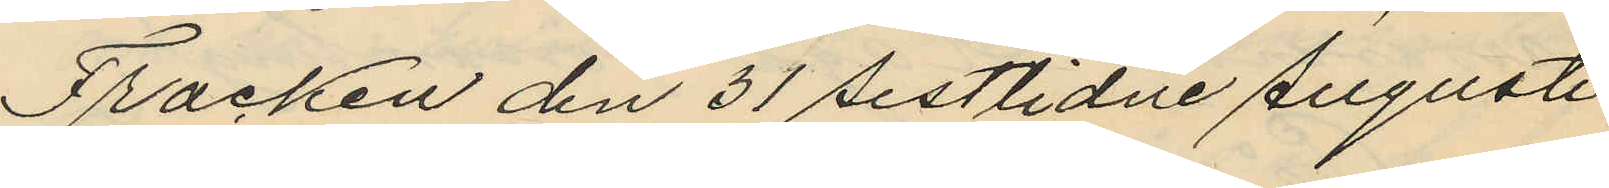Fracken den 31 sistlidne Augusti
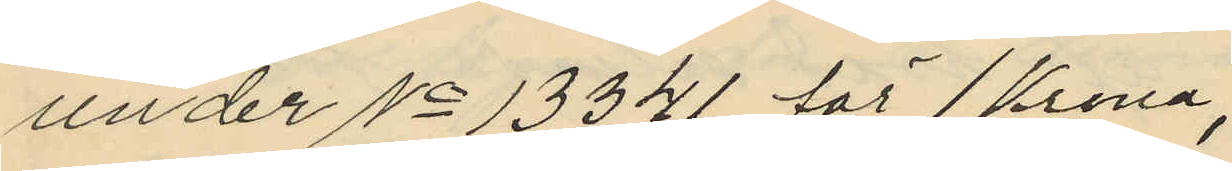under No 13341 för 1 Krona,
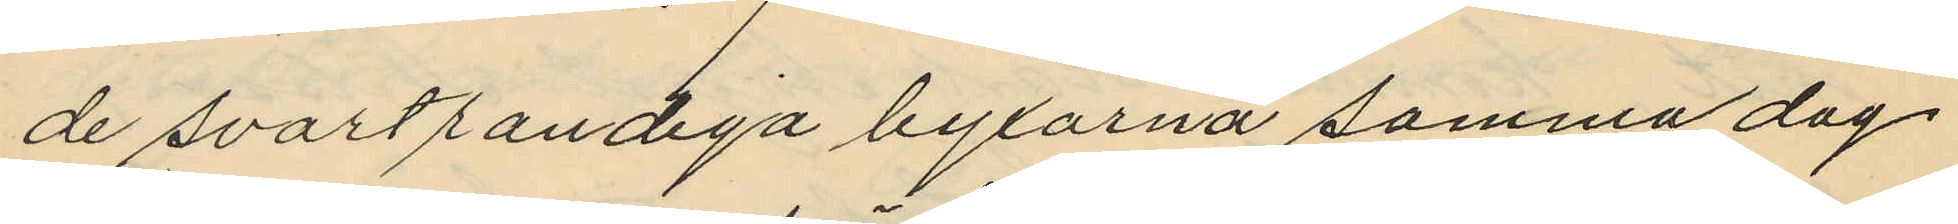de svartrandiga byxorna samma dag
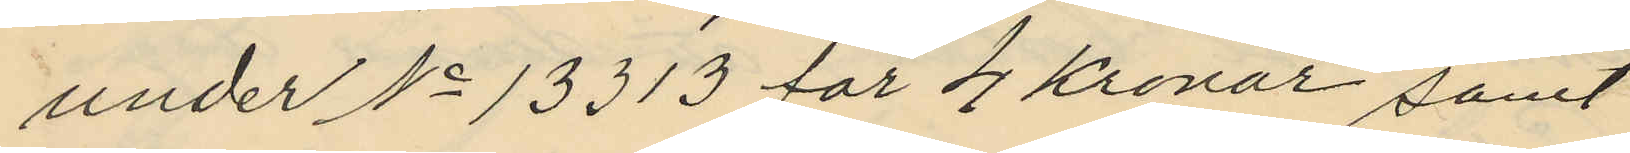under No 13313 för 4 Kronor samt
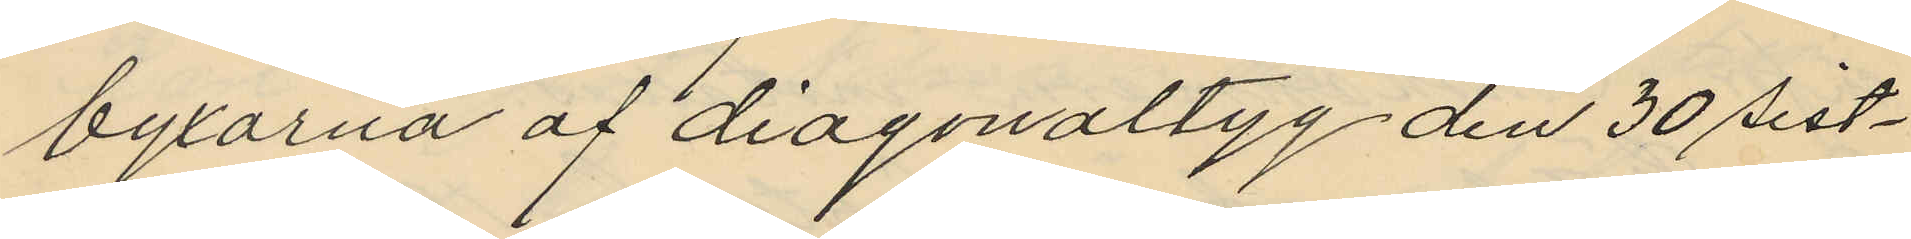byxorna af diagonaltyg den 30 sist¬
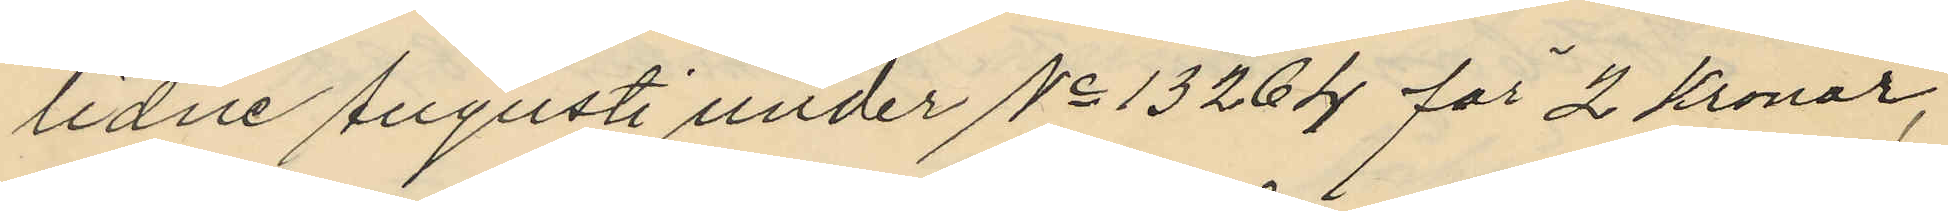lidne Augusti under No 13264 för 2 Kronor,
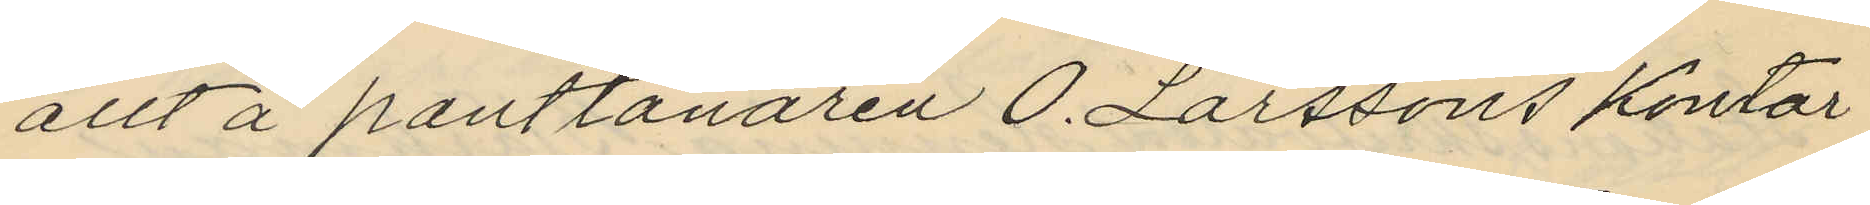allt å pantlånaren O. Larssons kontor
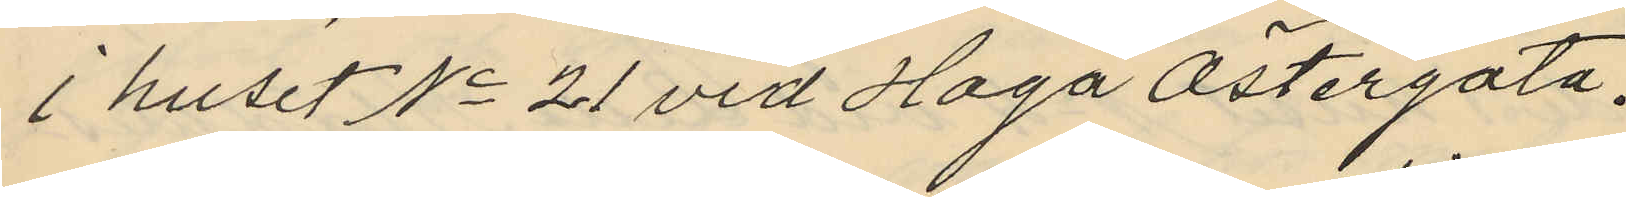i huset No 21 vid Haga Östergata.
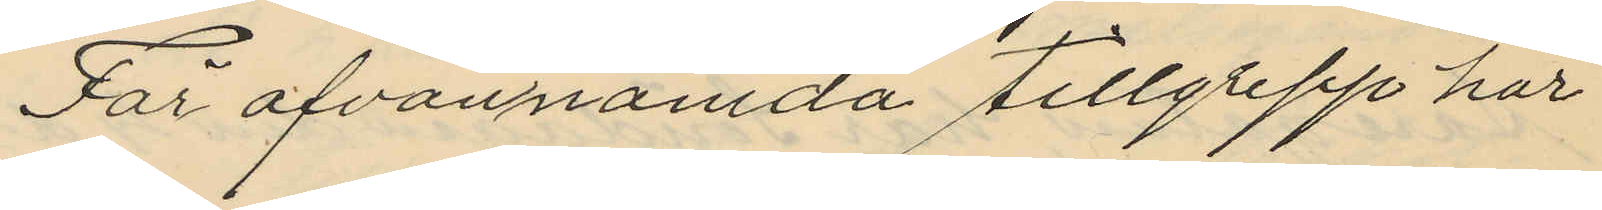För ofvannämda tillgrepp har
